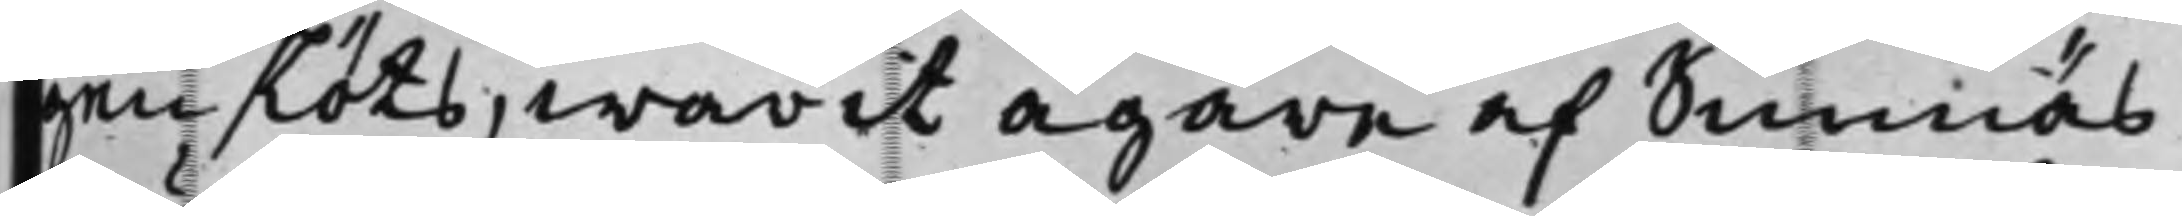gen slöts, warit ägare af Sunnäs
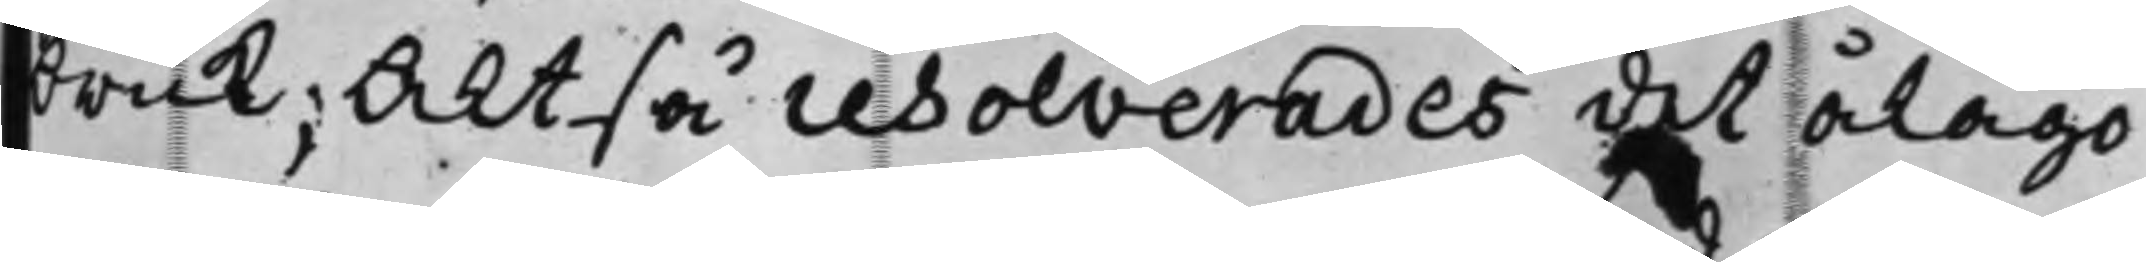bruk; Altså resolverades det ålågo
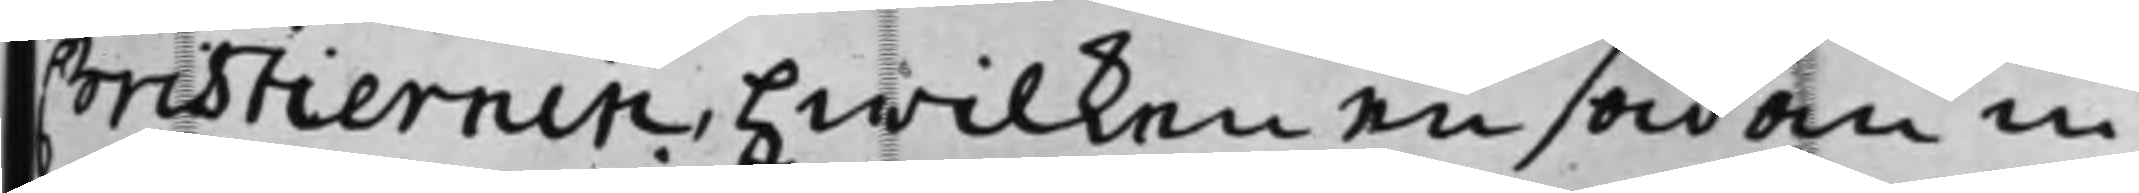Christiernin, hwilken en sådan in¬
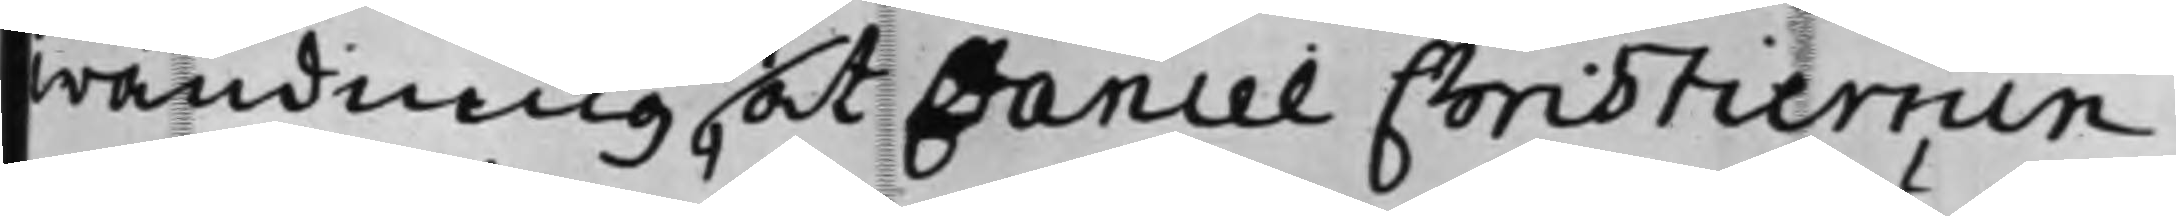wändning, at Daniel Christiernin
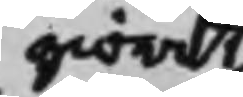giordt
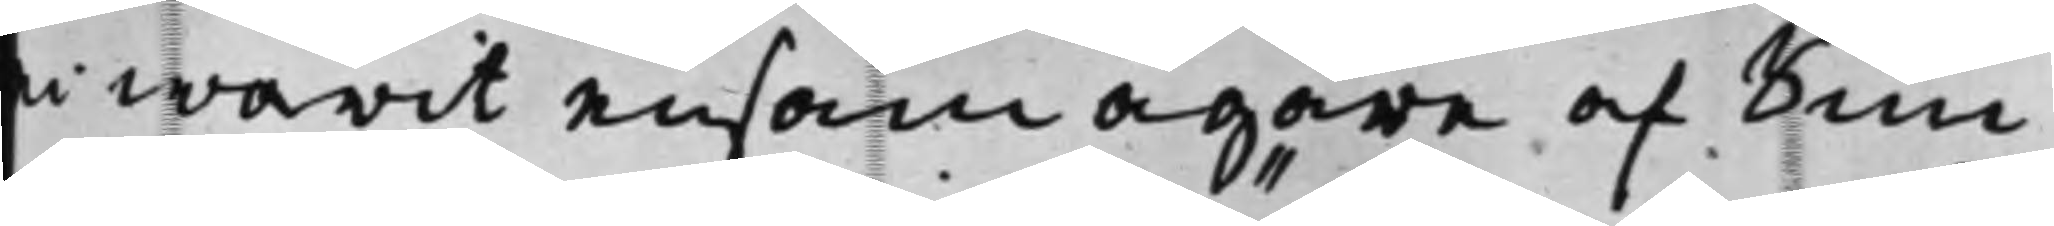ei warit ensam ägare af Sun¬
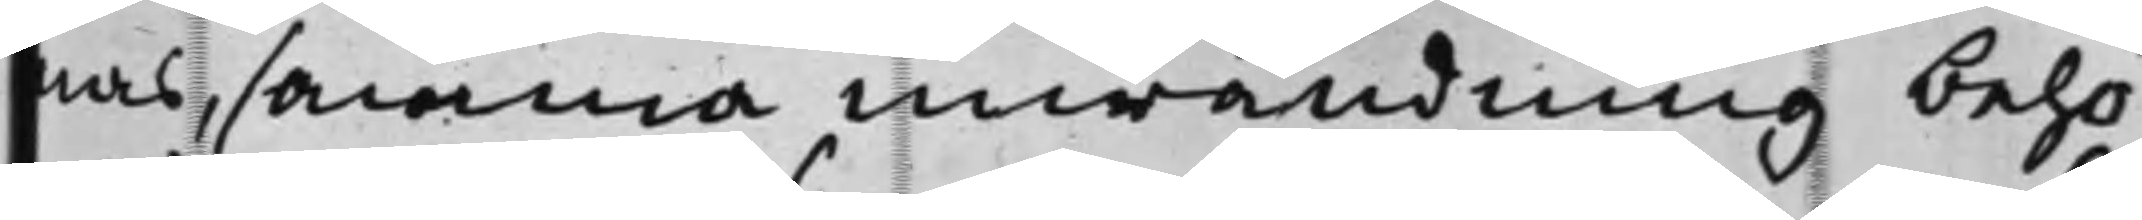nas, samma inwändning behö¬
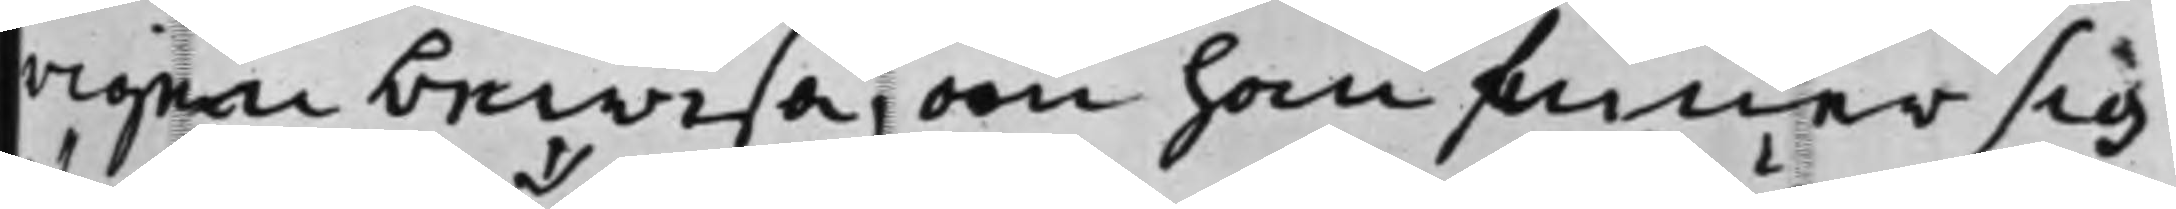rigen bewisa, om han finner sig
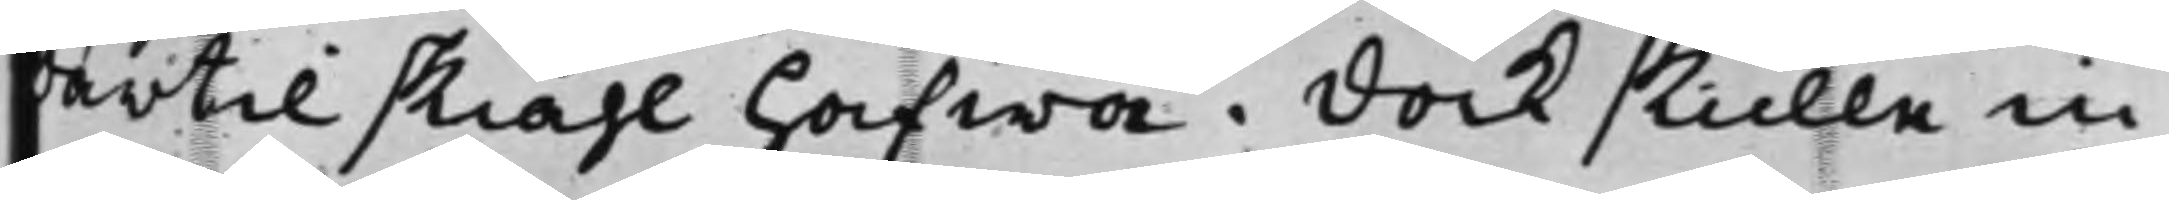därtil skiähl hafwa. Dock skulle in¬
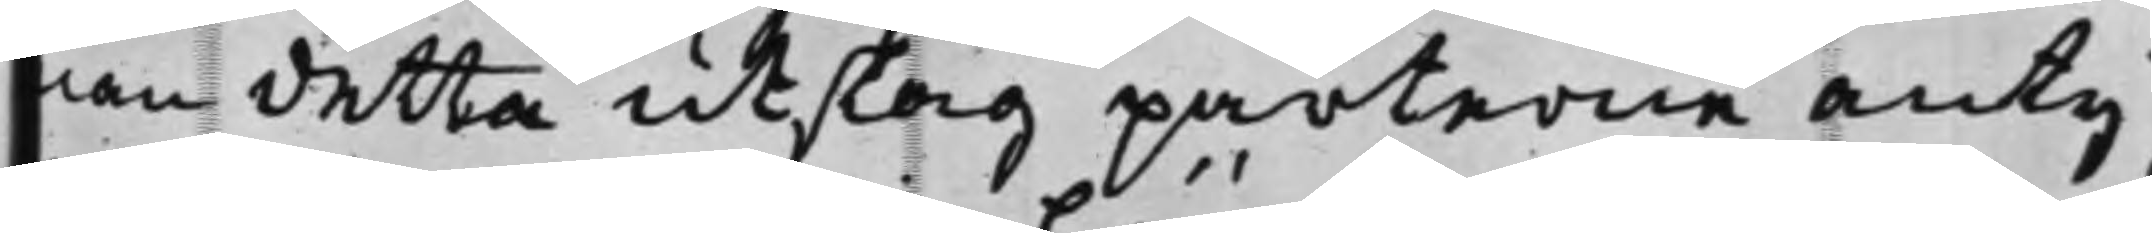nan detta utslag parterne anty¬
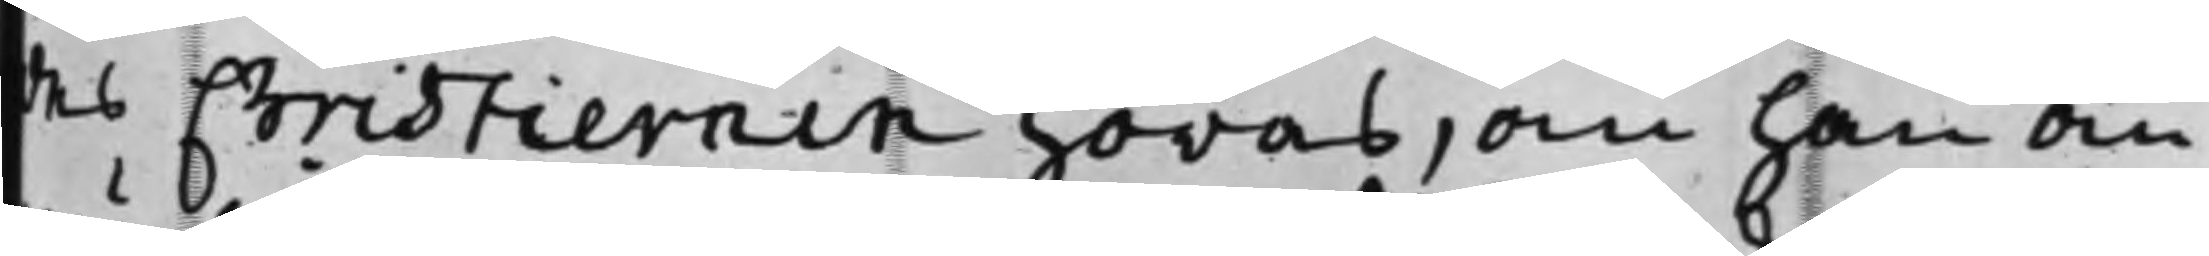des Christiernin höras, om han än¬
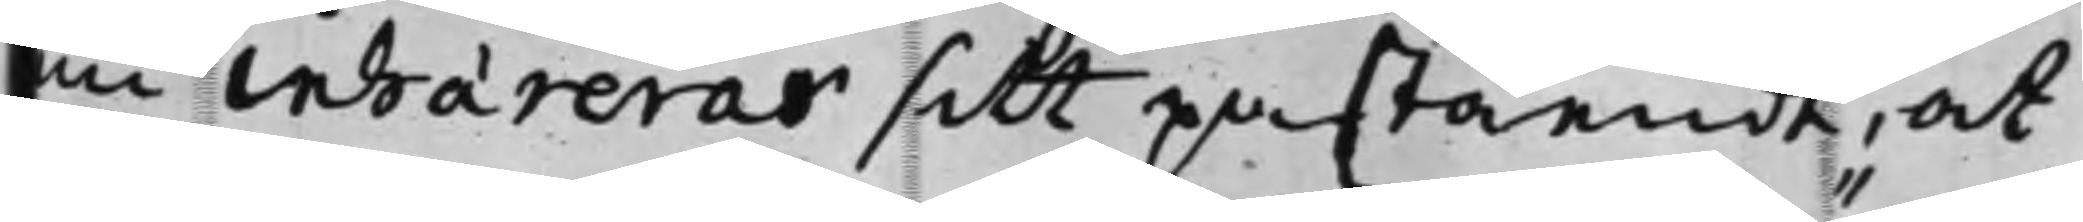nu inhærerar sitt påstående, at
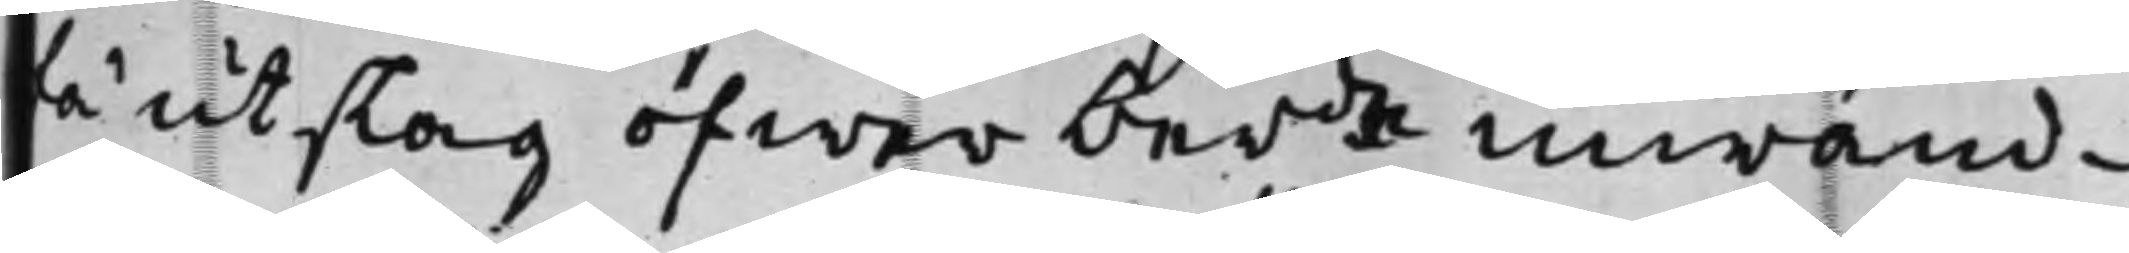få utslag öfwer berde inwänd¬
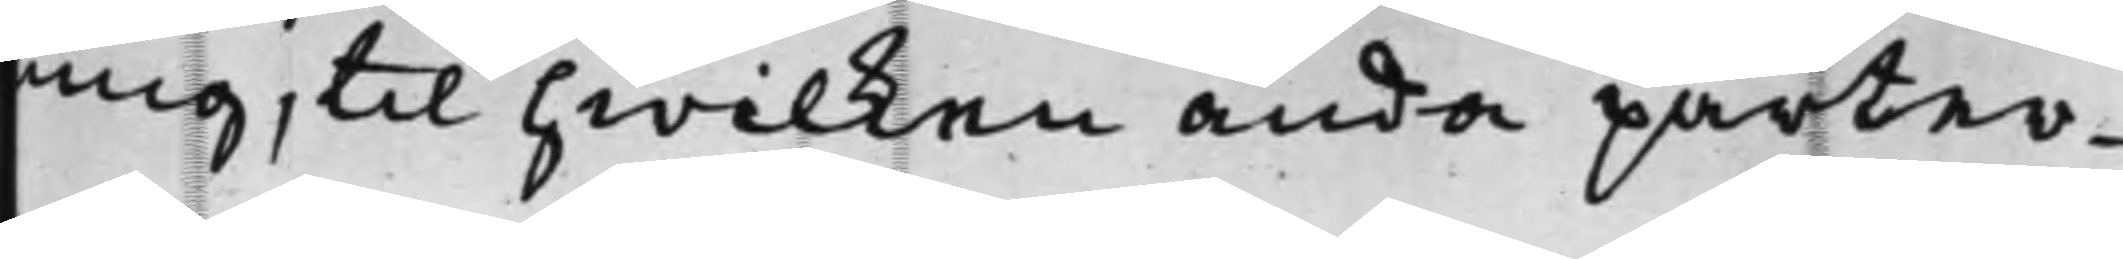ning, til hwilken ända parter¬
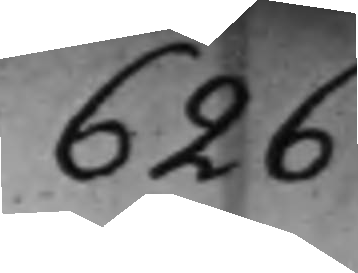626
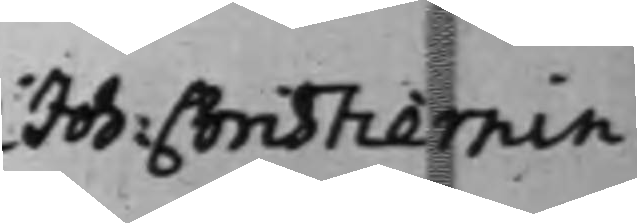Joh: Christiernin
